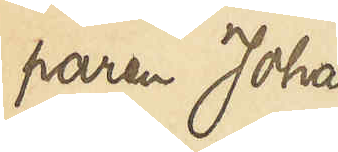paren Johan
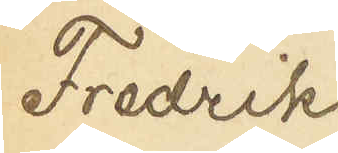Fredrik
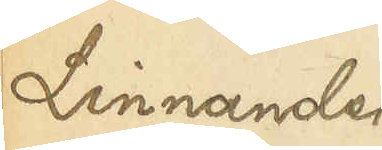Linnander
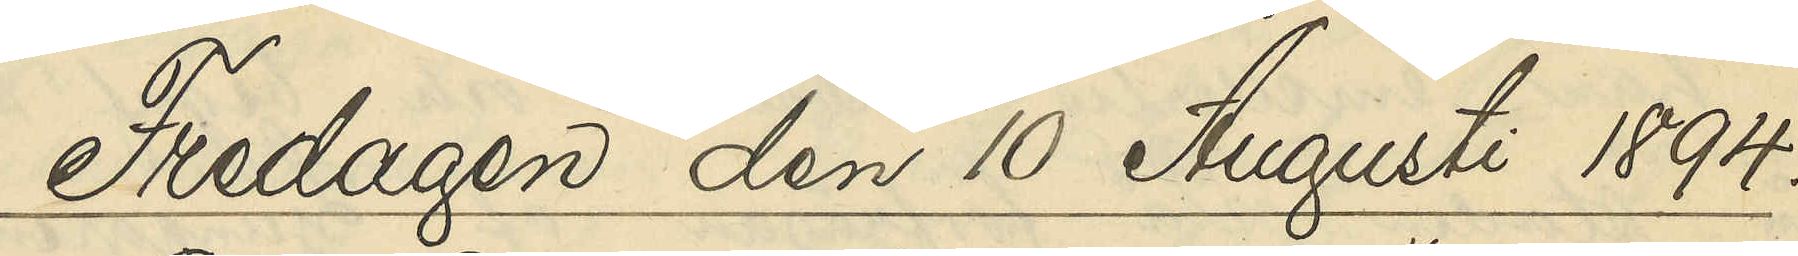Fredagen den 10 Augusti 1894.
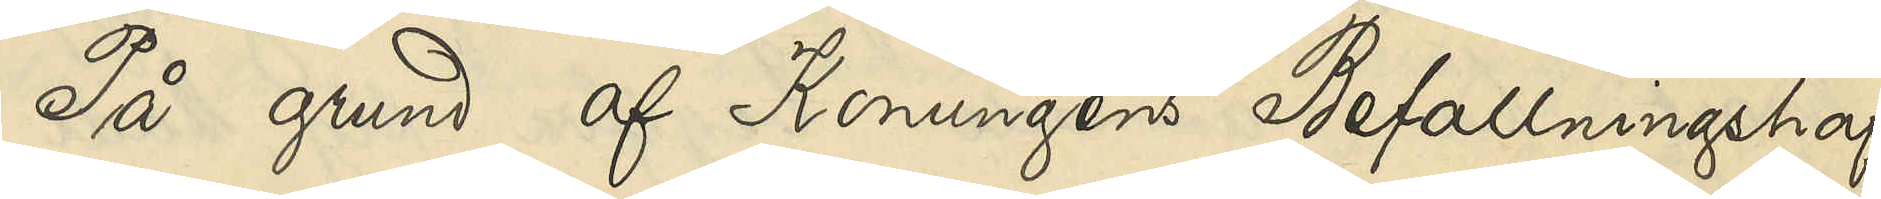På grund af Konungens Befallningshaf¬
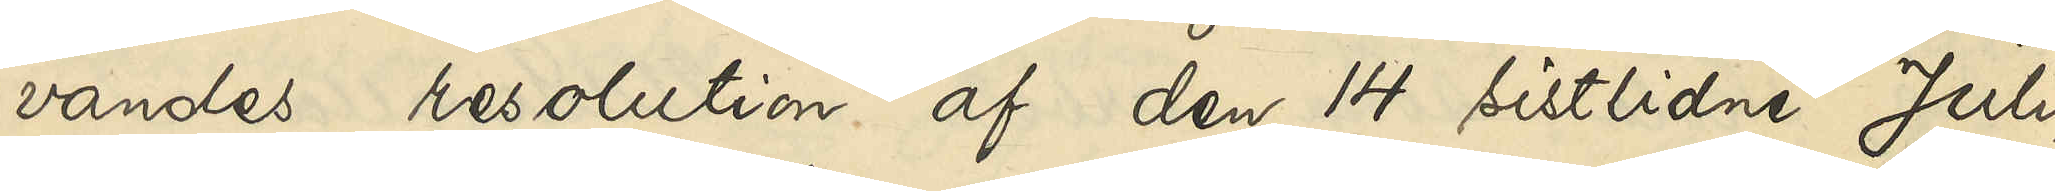vandes resolution af den sistlidne Juli,
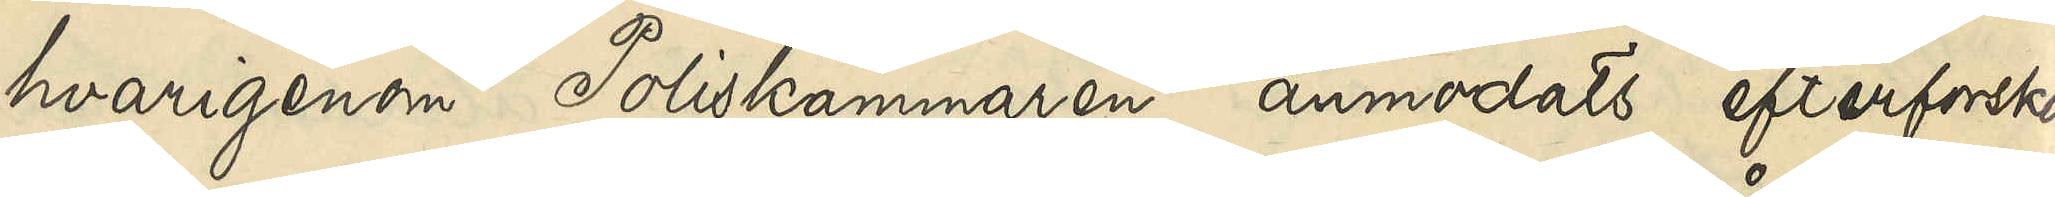hvarigenom Poliskammaren anmodats efterforska,
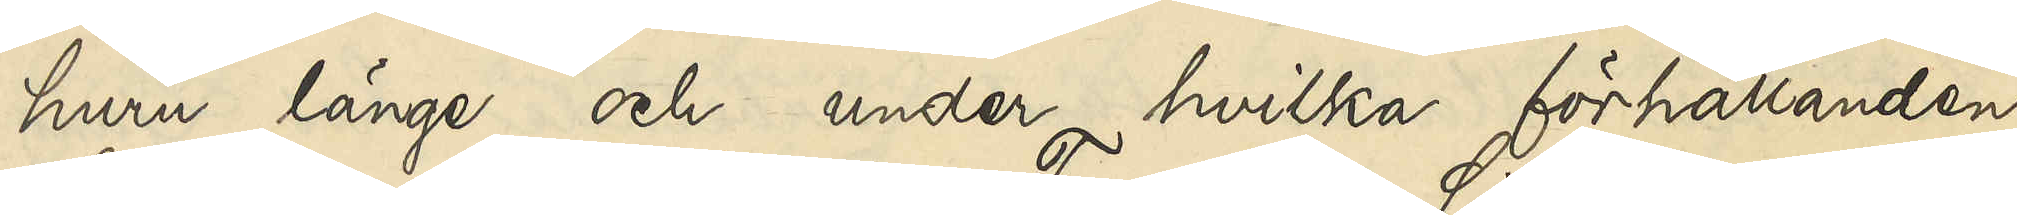huru länge och under hvilka förhållanden
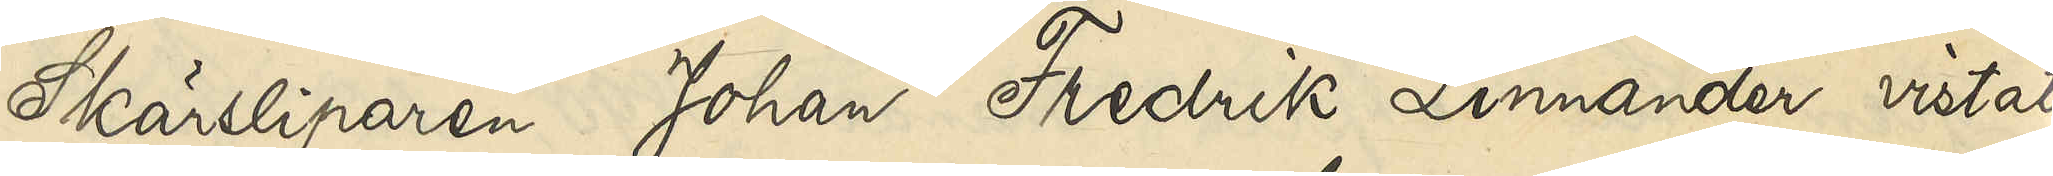Skärsliparen Johan Fredrik Linnander vistats
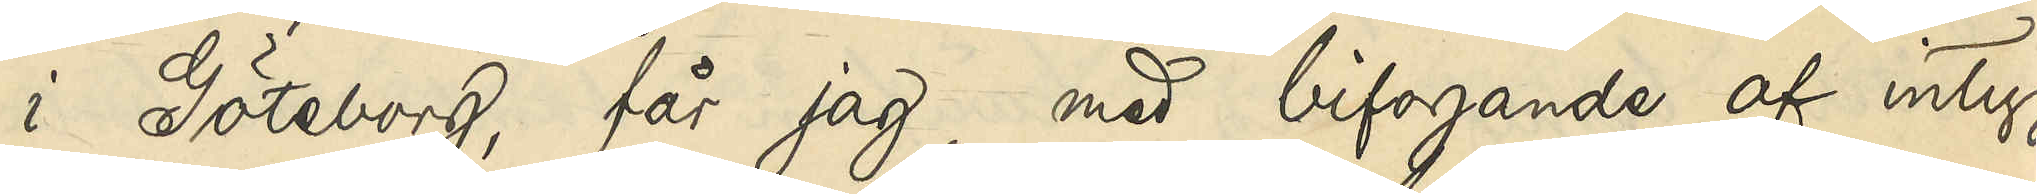i Göteborg, får jag, med bifogande af intyg
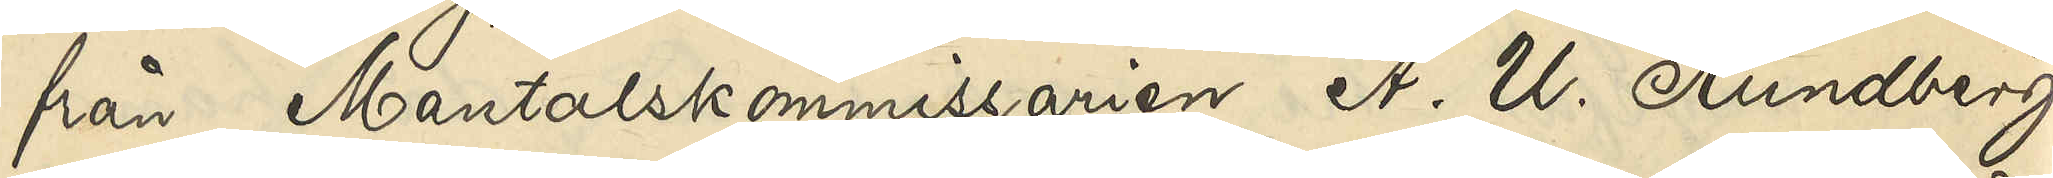från Mantalskommissarien A. U. Rundberg
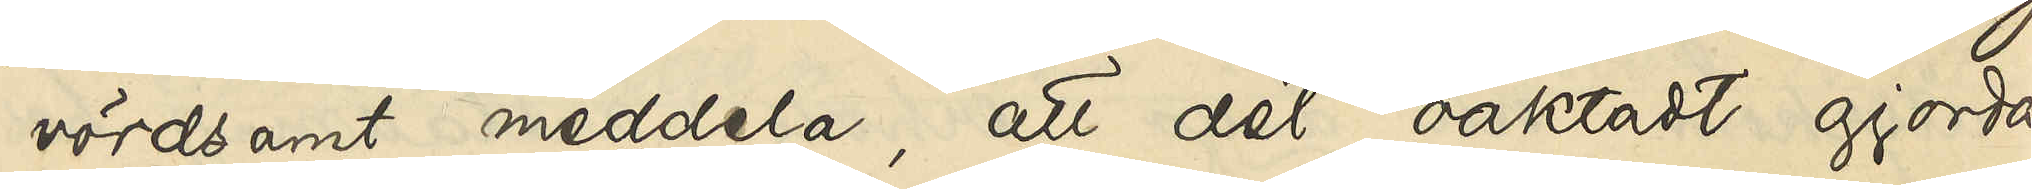vördsamt meddela, att det oaktadt gjorda
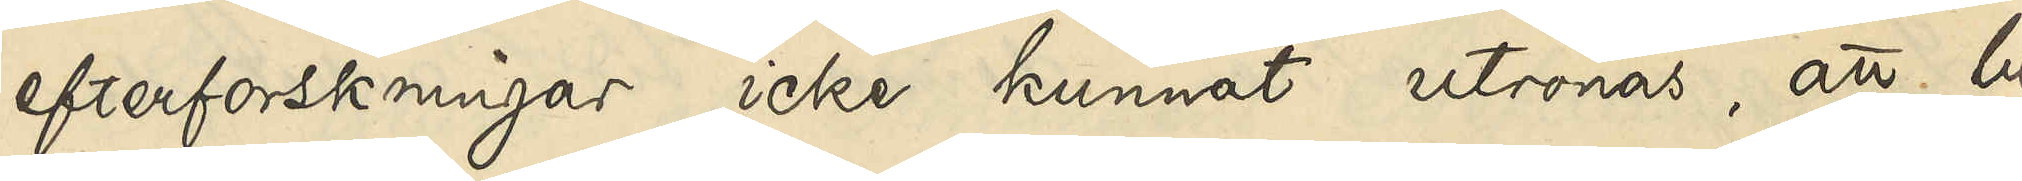efterforskningar icke kunnat utrönas, att be¬
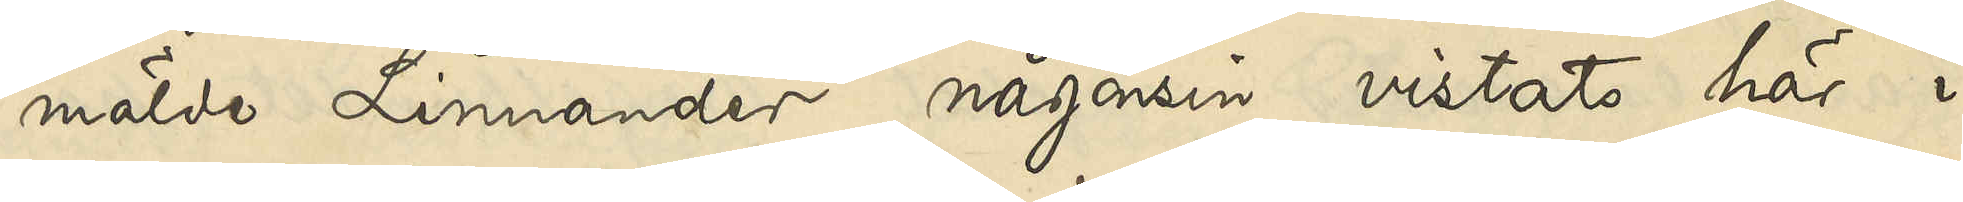mälde Linnander någonsin vistats här i
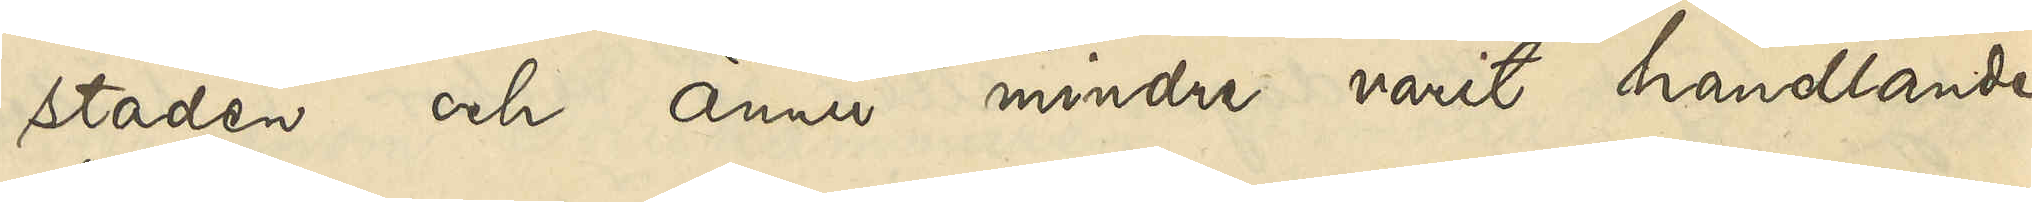staden och ännu mindre varit handlande
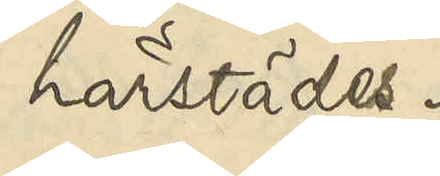härstädes.
